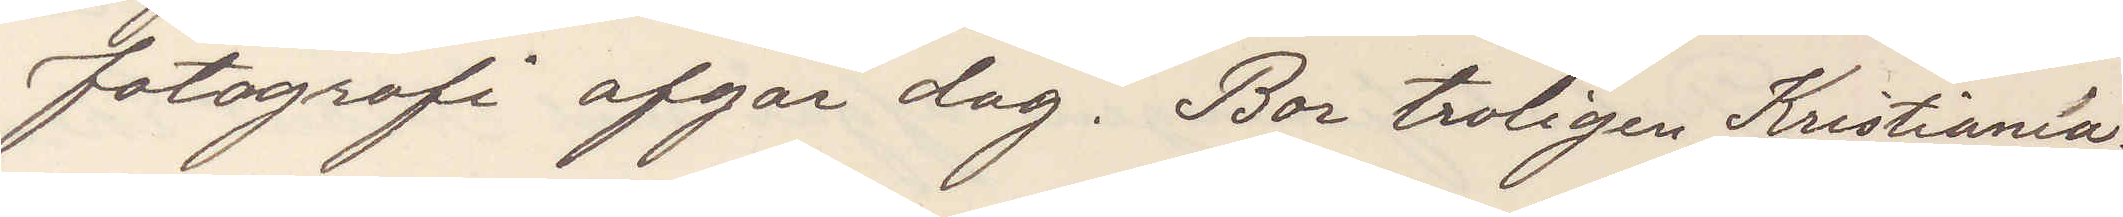fotografi afgår dag. Bor troligen Kristiania.
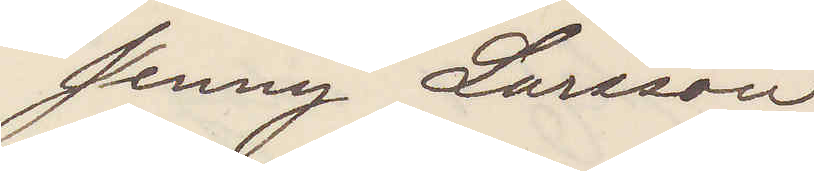Jenny Larsson
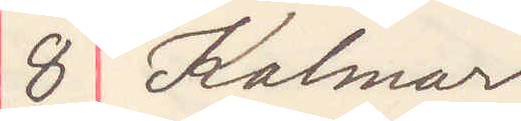8 Kalmar
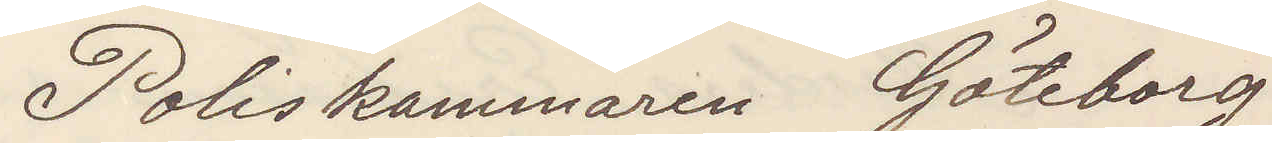Poliskammaren Göteborg
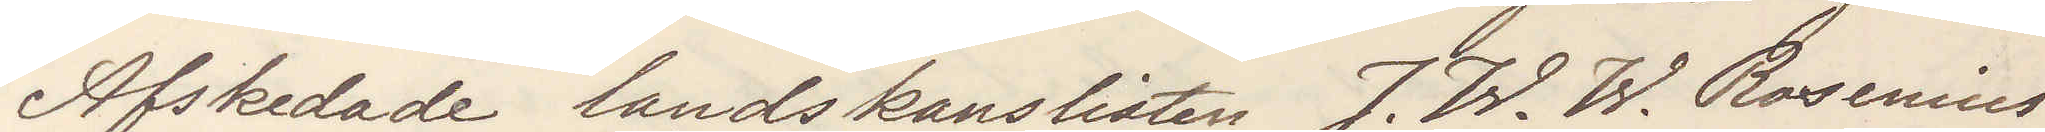Afskedade landskanslisten J. W. W. Rosenius
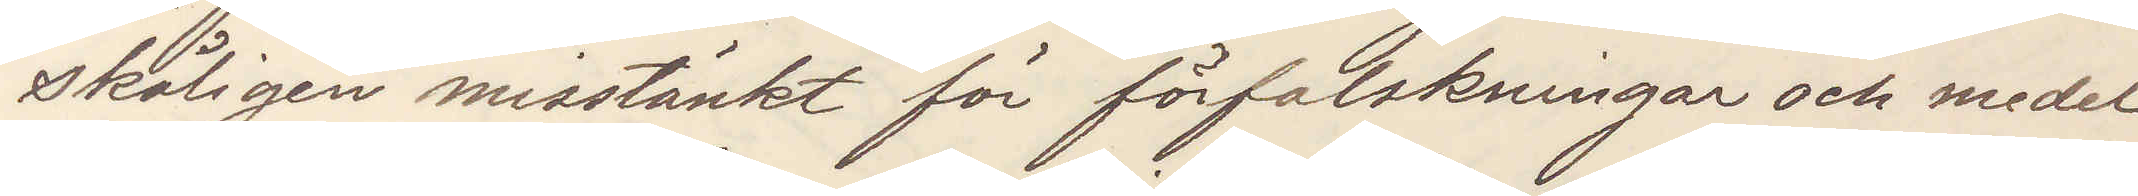skäligen misstänkt för förfalskningar och medel¬
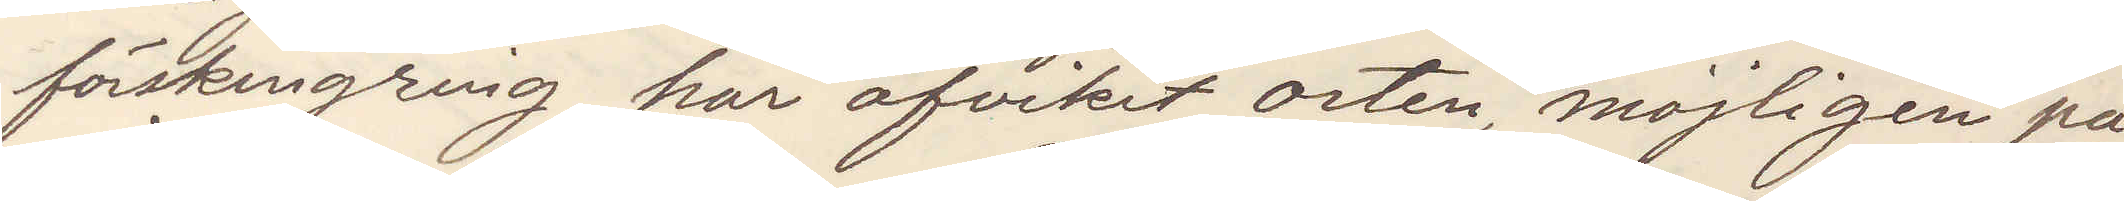förskingring har afvikit orten möjligen på
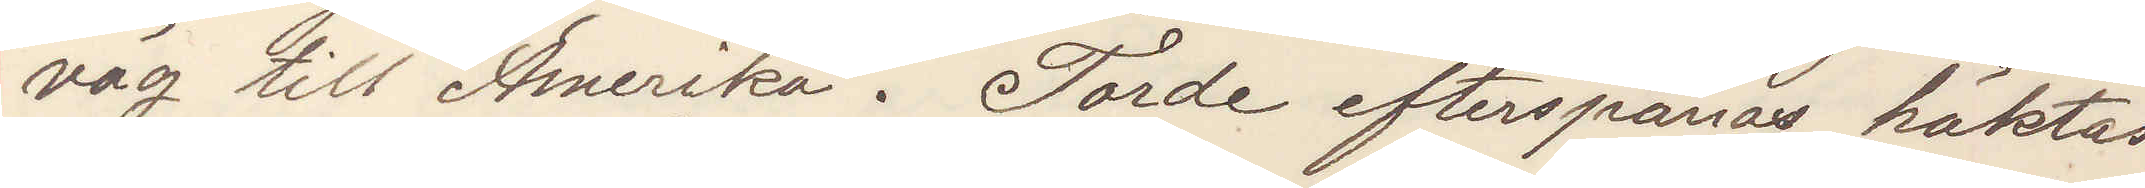väg till Amerika. Torde efterspanas, häktas
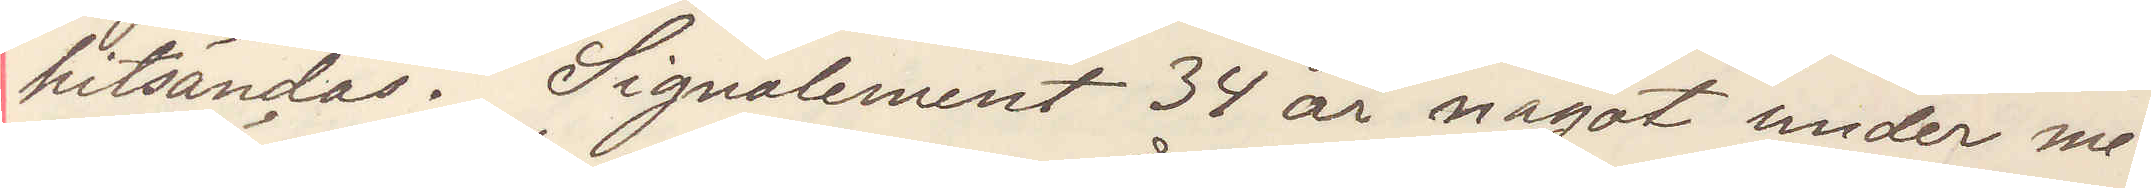hitsändas. Signalement 34 år något under me¬
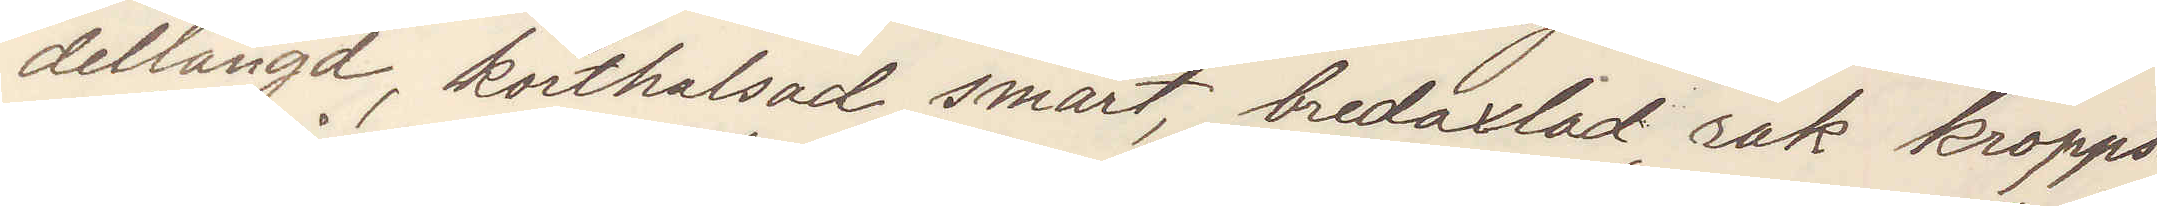dellängd, korthalsad smärt, bredaxlad rak kropps¬
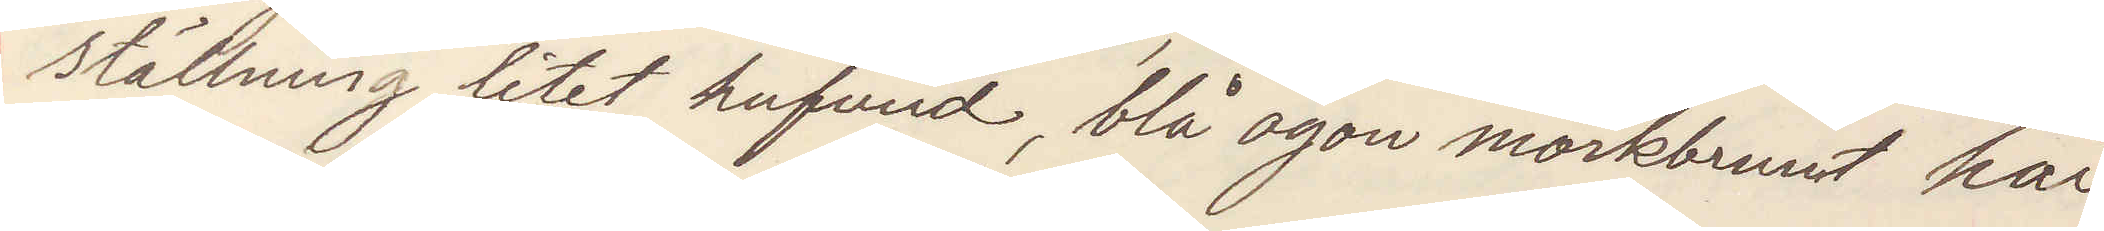ställning litet hufvud, blå ögon mörkbrunt hår
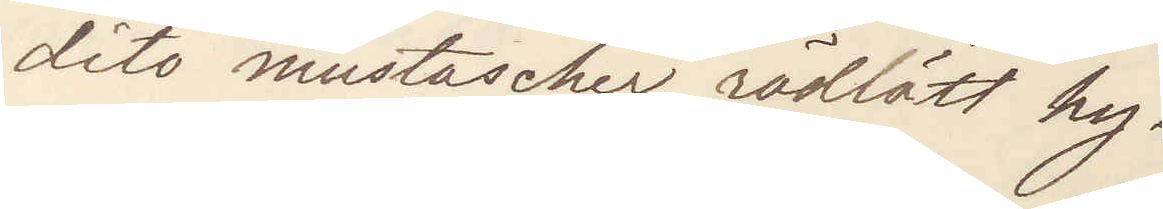dito mustascher, rödlätt hy.
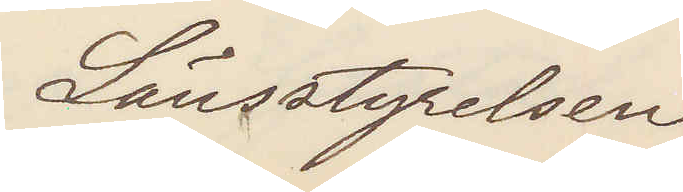Länsstyrelsen
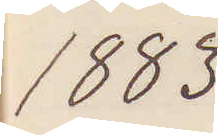1883
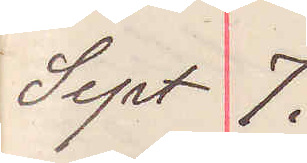Sept 7.
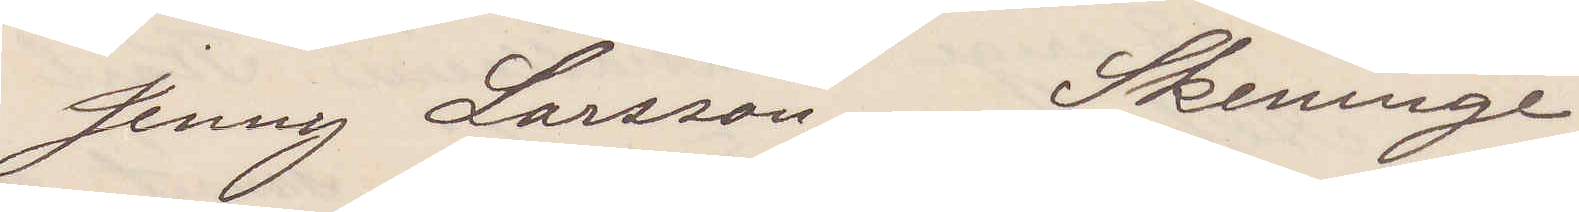Jenny Larsson Skeninge
